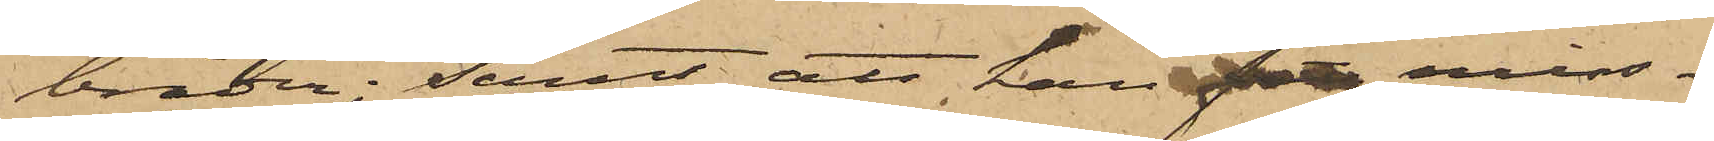bräder; samt att han miss¬
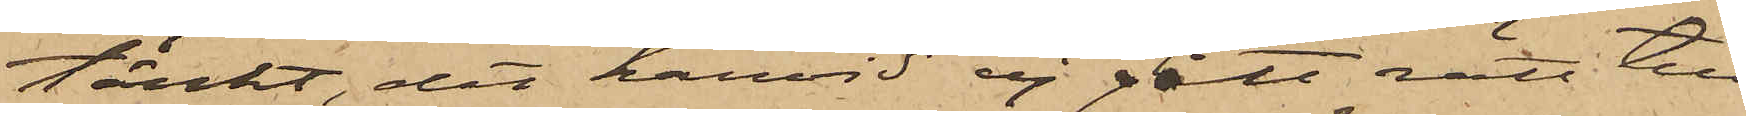tänkt, det härvid ej gått rätt till,
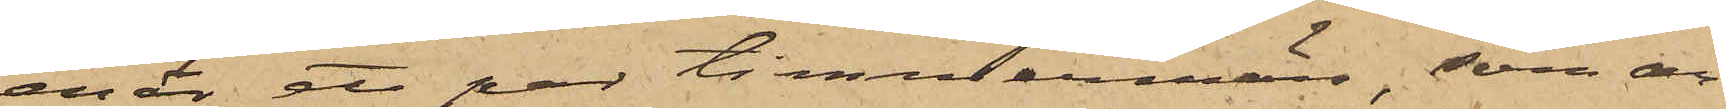enär ett par timmermän, som ar¬
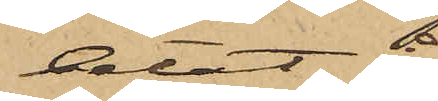betat å
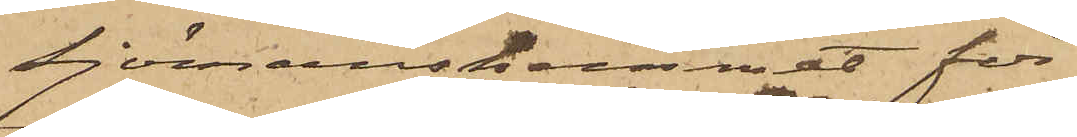Sjömanshemmet för
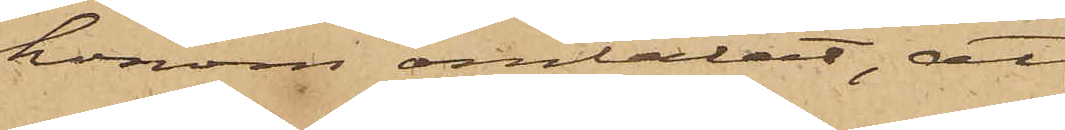honom omtalat, att
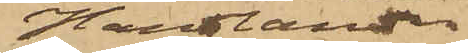Handlanden
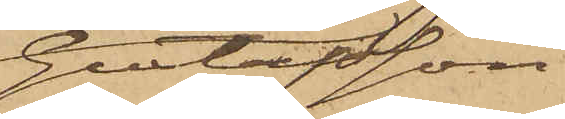Gustafsson
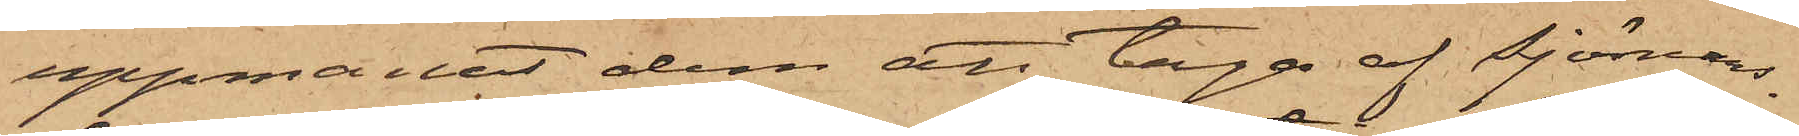uppmanat dem att taga af Sjömans¬
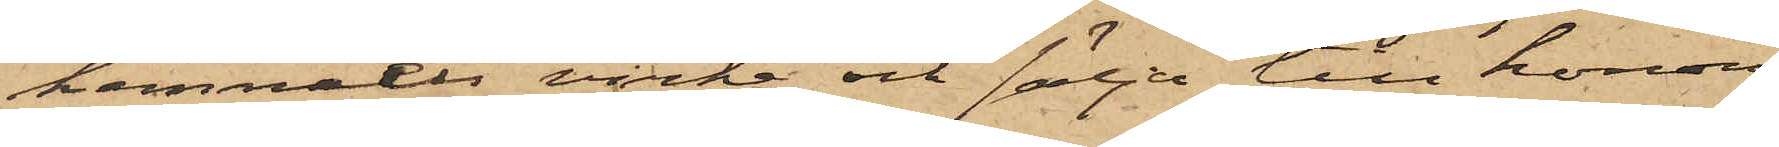hemmets virke och sälja till honom;
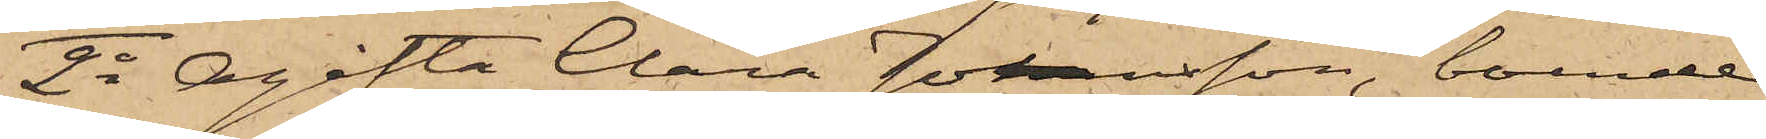2o Ogifta Clara Johansson, boende
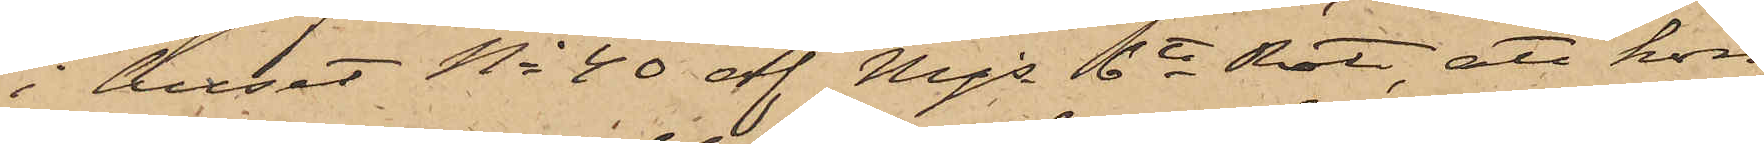i huset No 40 af Mjs 6te Rote, att hon
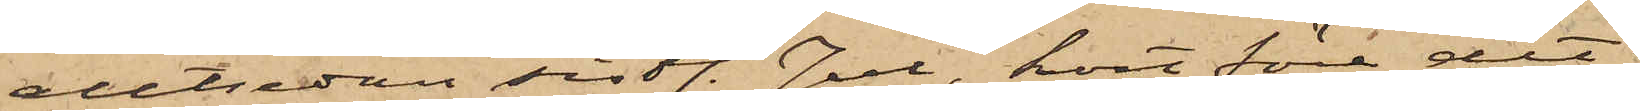alltsedan sistl. Jul, kort före det
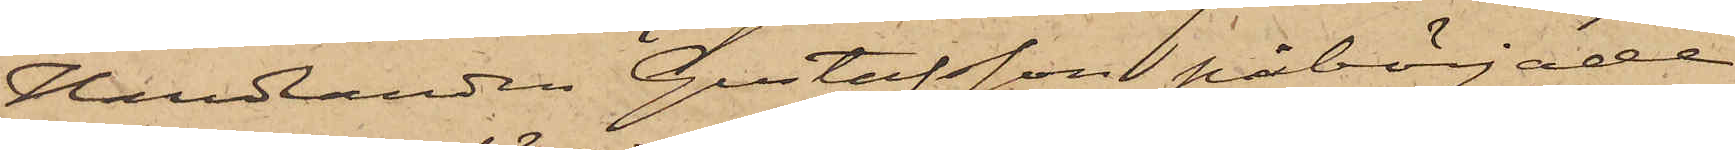Handlanden Gustafsson påbörjade
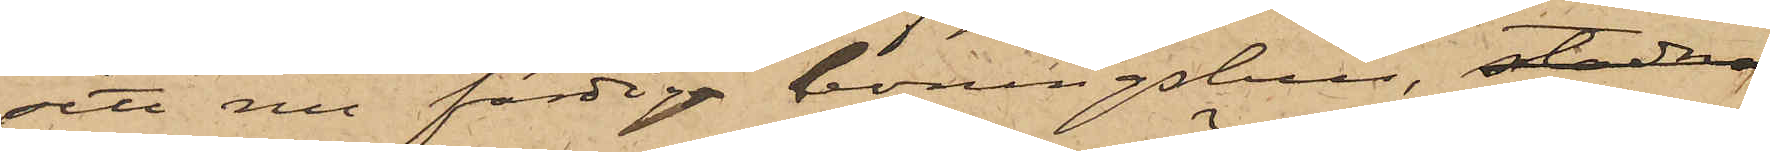sitt nu färdiga boningshus, stadna
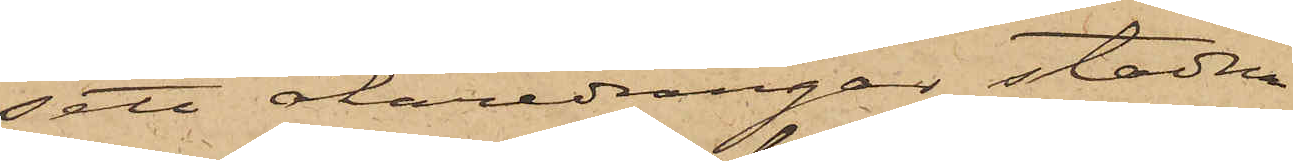sett åkaredrängar stadna
